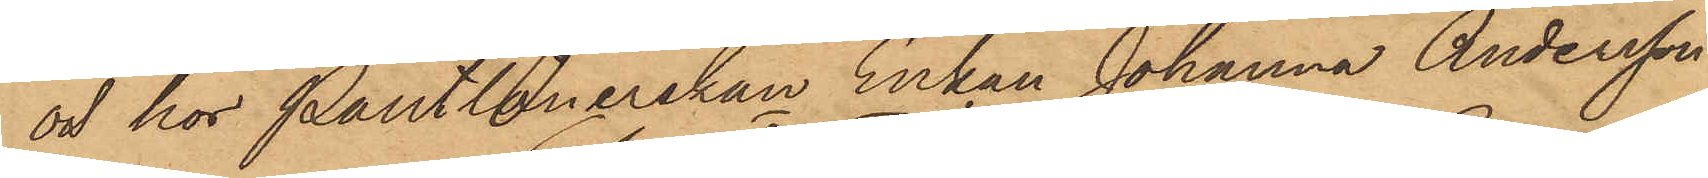och hos Pantlånerskan Enkan Johanna Andersson
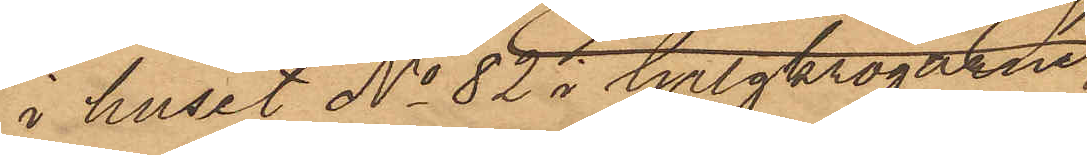i huset No 82 i Galgkrogarne
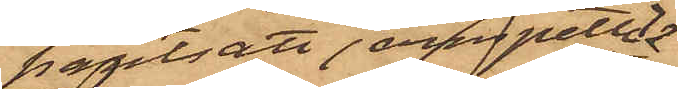pantsatt jernspettet
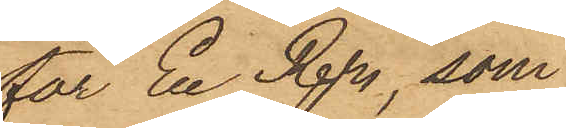för En Rdr, som
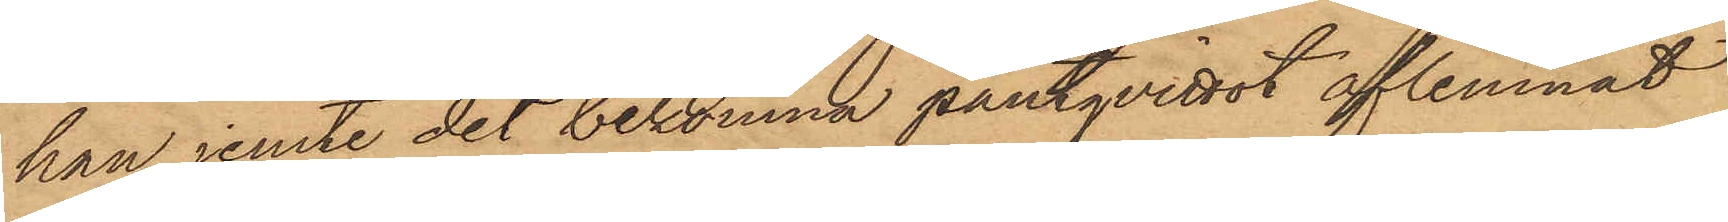han jemte det bekomna pantqvittot aflemnat
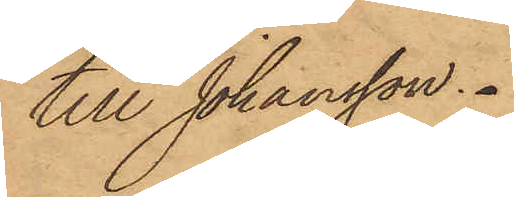till Johansson.
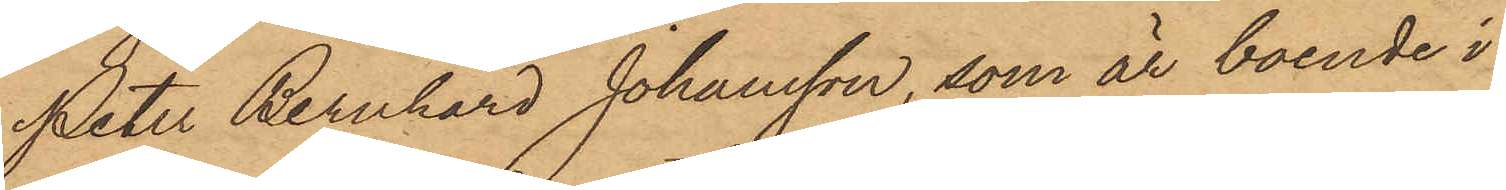Peter Bernhard Johansson, som är boende i
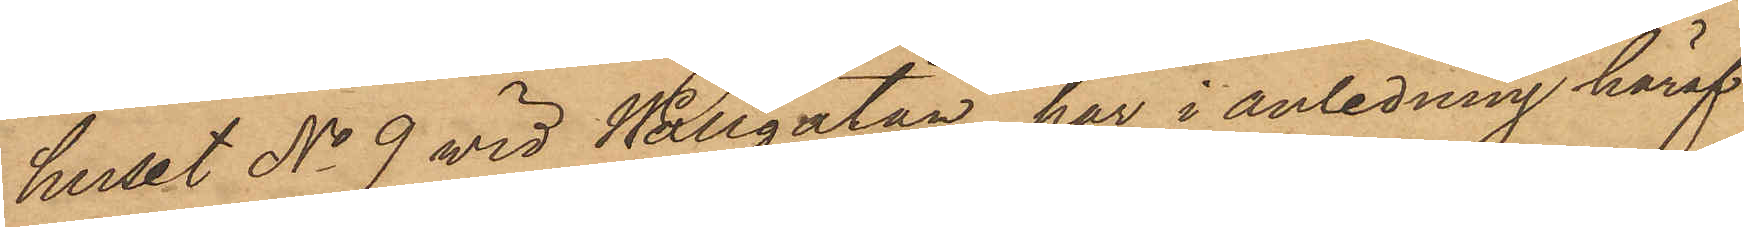huset No 9 vid Wallgatan, har i anledning häraf
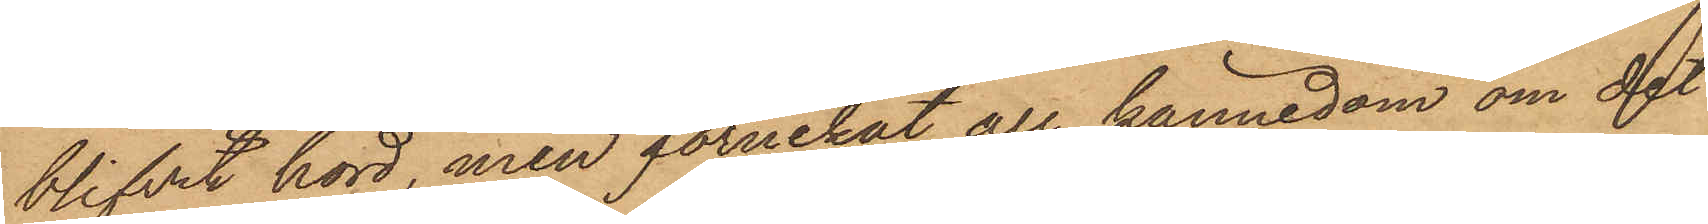blifvit hörd, men förnekat all kännedom om det
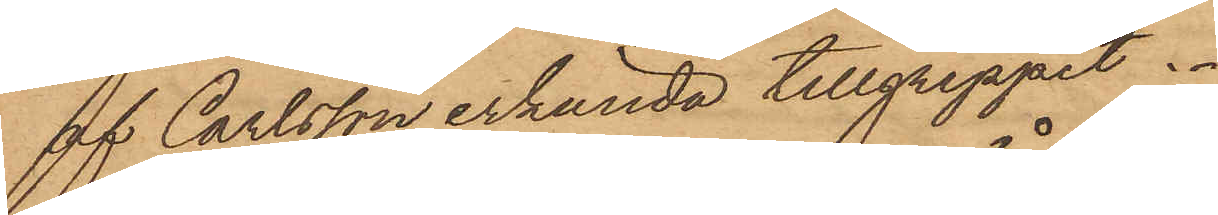af Carlsson erkända tillgreppet.
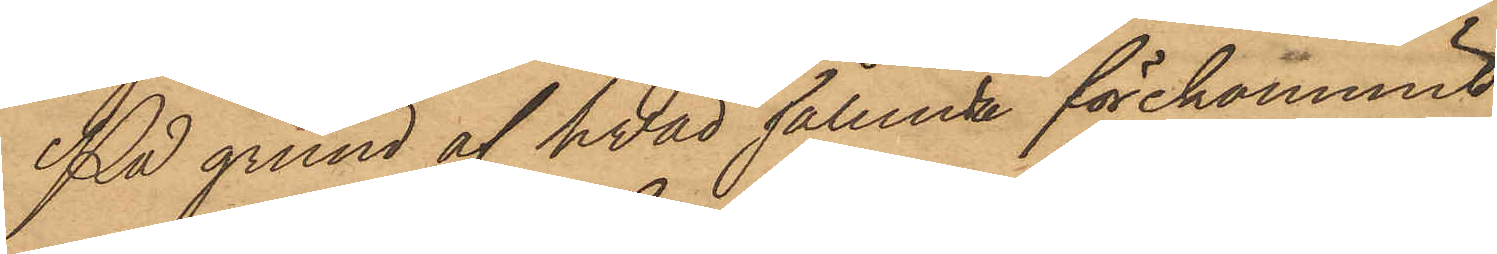På grund af hvad sålunda förekommit
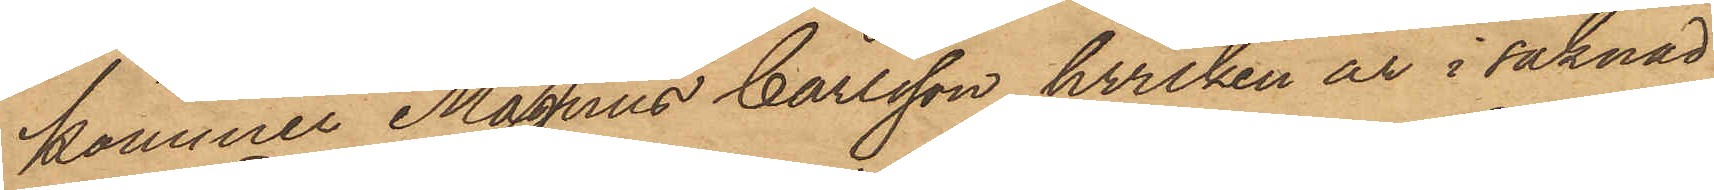kommer Magnus Carlsson, hvilken är i saknad
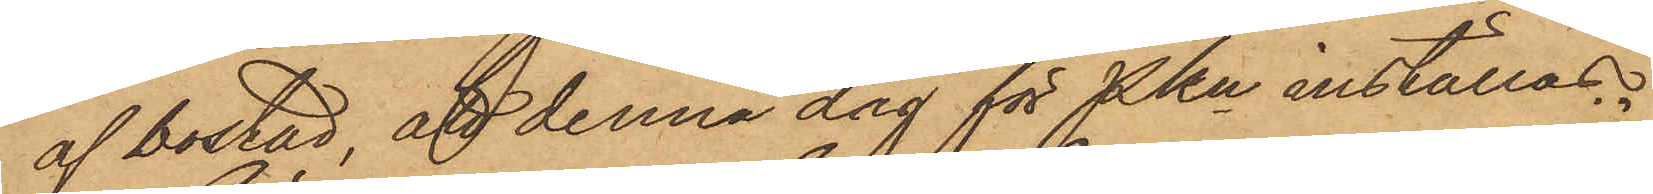af bostad, att denna dag för Pkn inställas.
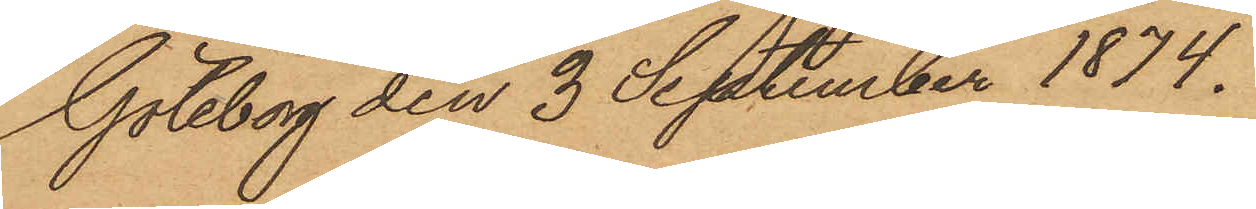Göteborg den 3 September 1874.
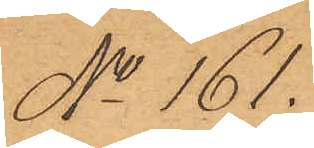No 161.
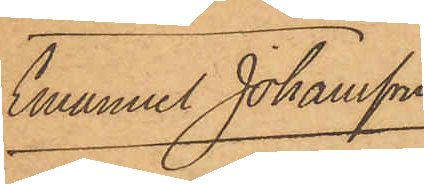Emanuel Johansson
